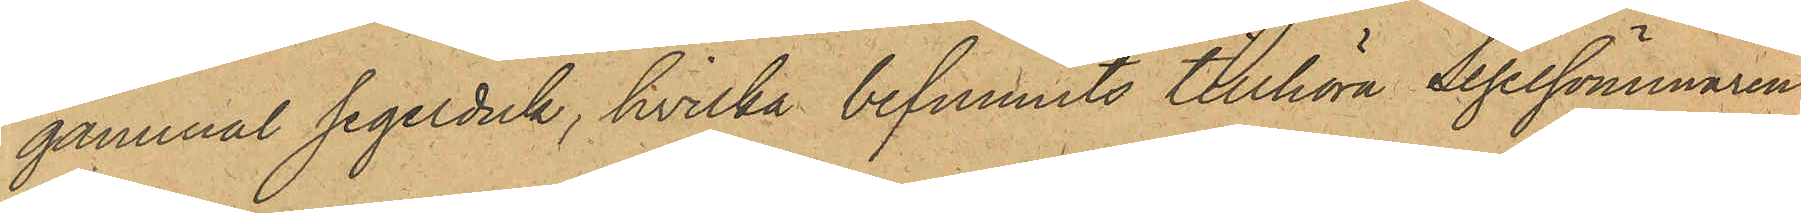gammal segelduk, hvilka befunnits tillhöra Segelsömmaren
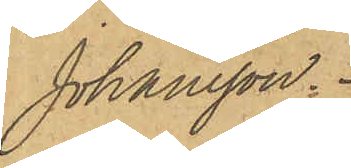Johansson.
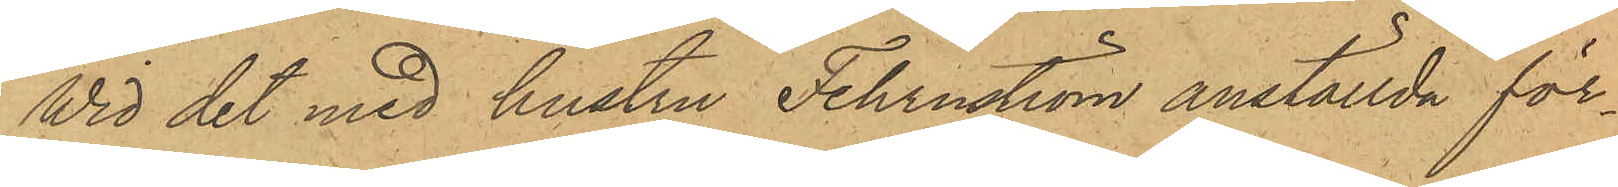Wid det med hustru Fehrnström anställda för¬
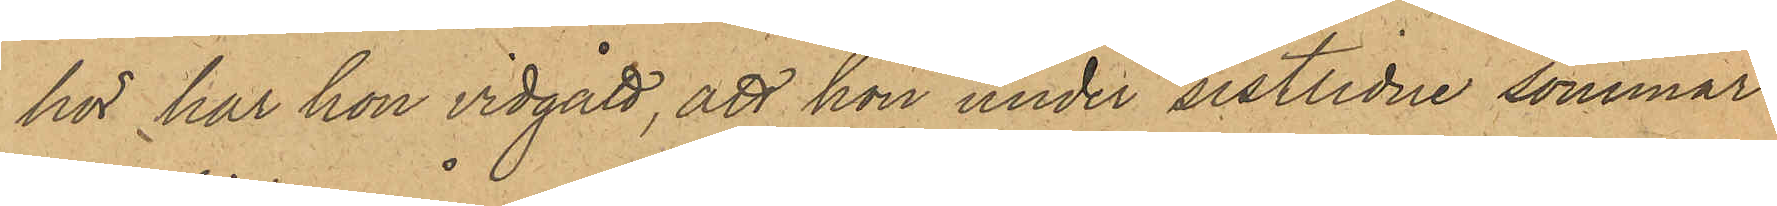hör har hon vidgått, att hon under sistlidne sommar
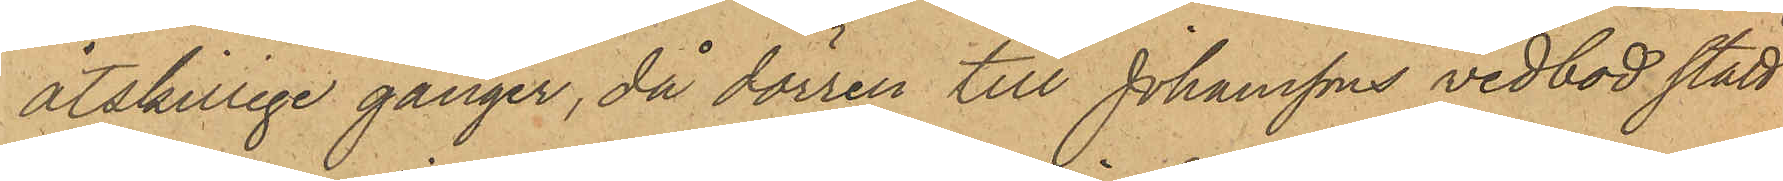åtskillige gånger, då dörren till Johanssons vedbod stått
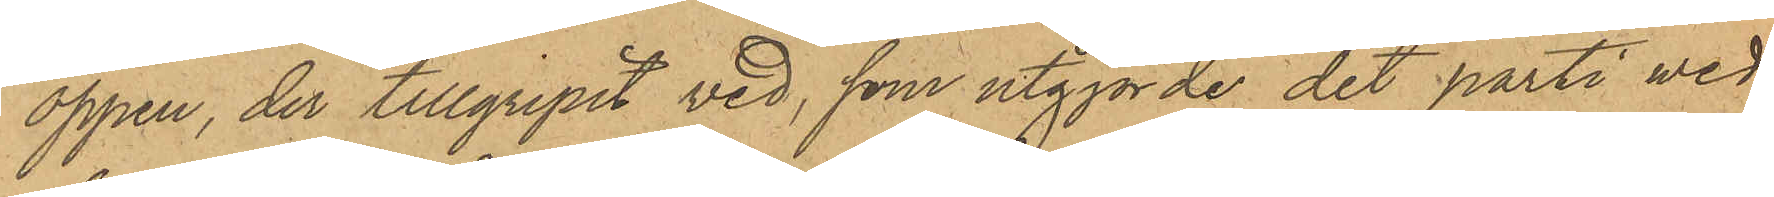öppen, der tillgripit ved, som utgjorde det parti wed,
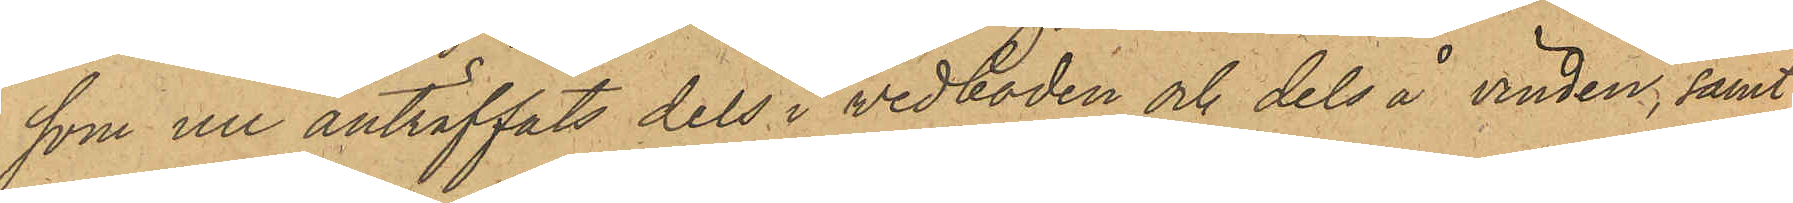som nu anträffats dels i vedboden och dels å vinden; samt
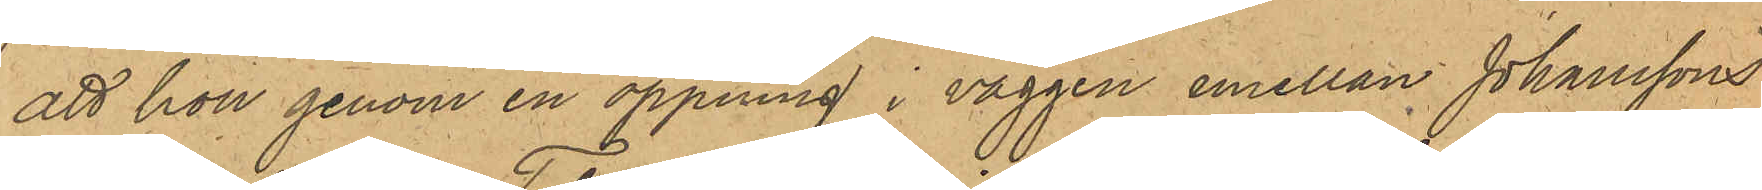att hon genom en öppning i väggen emellan Johanssons
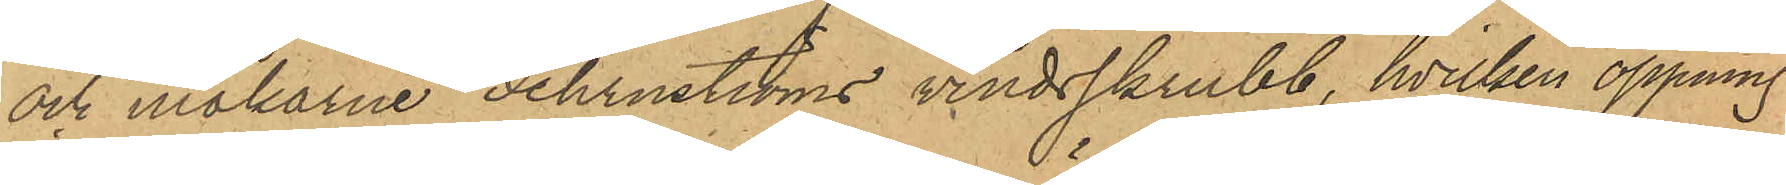och makarne Fehrnströms vindsskrubb, hvilken öppning
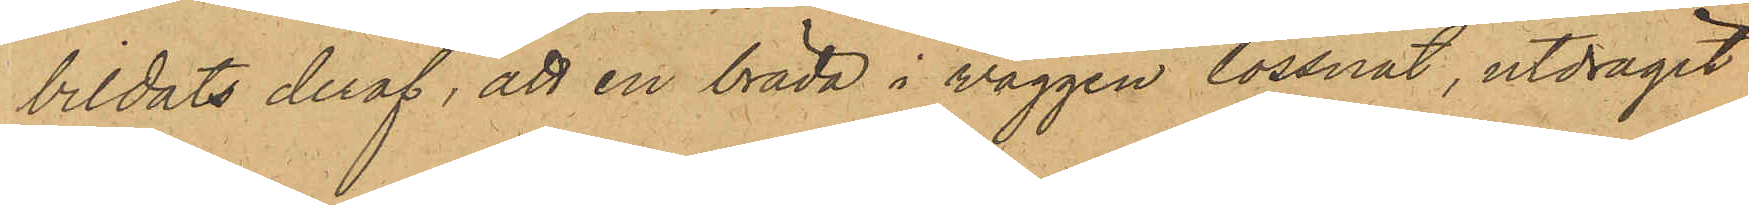bildats deraf, att en bräda i väggen lossnat, utdragit
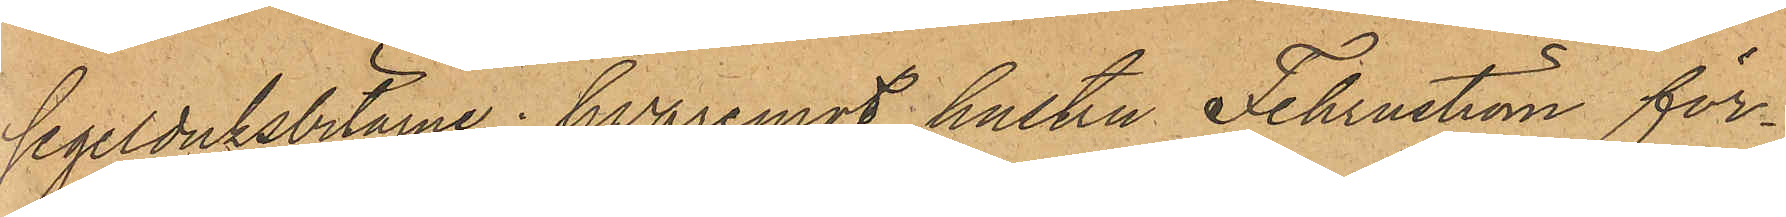segelduksbitarne; hvaremot hustru Fehrnström för¬
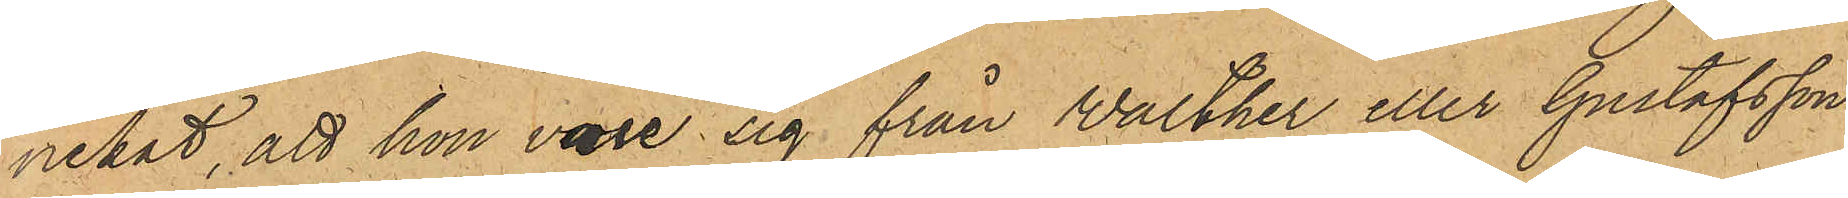nekat, att hon vore sig från Walther eller Gustafsson
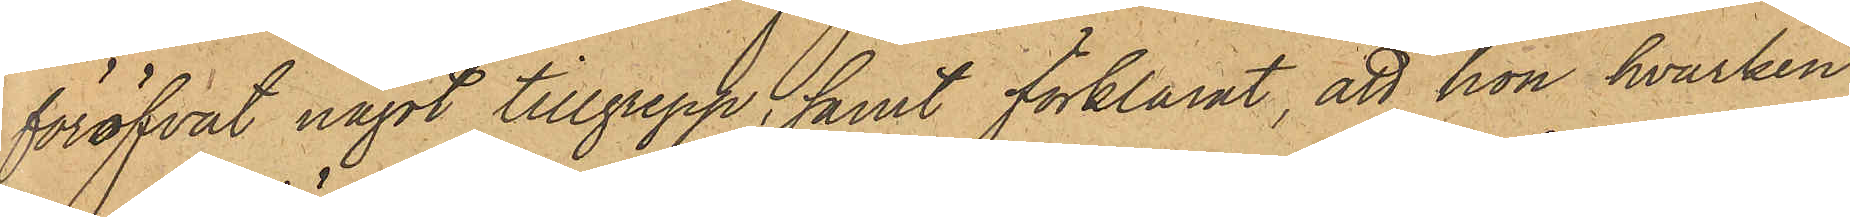föröfvat något tillgrepp; samt förklarat, att hon, hvarken
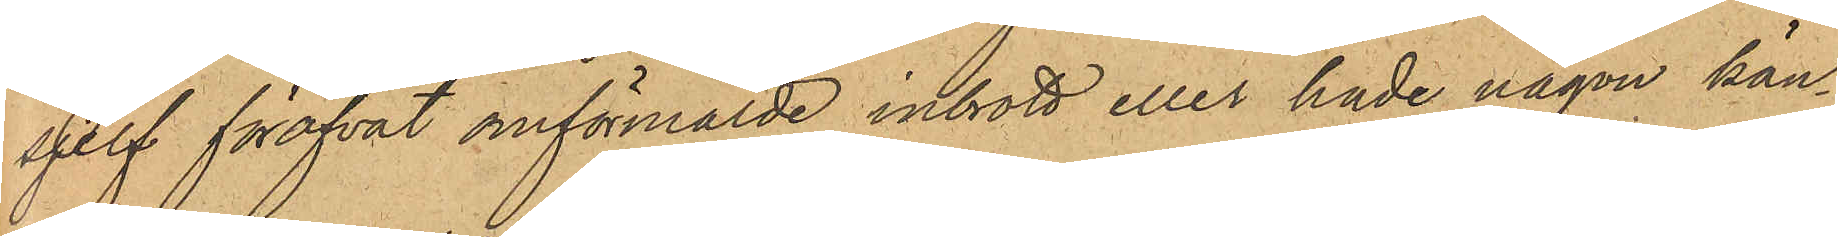sjelf föröfvat omförmälde inbrott eller hade någon kän¬
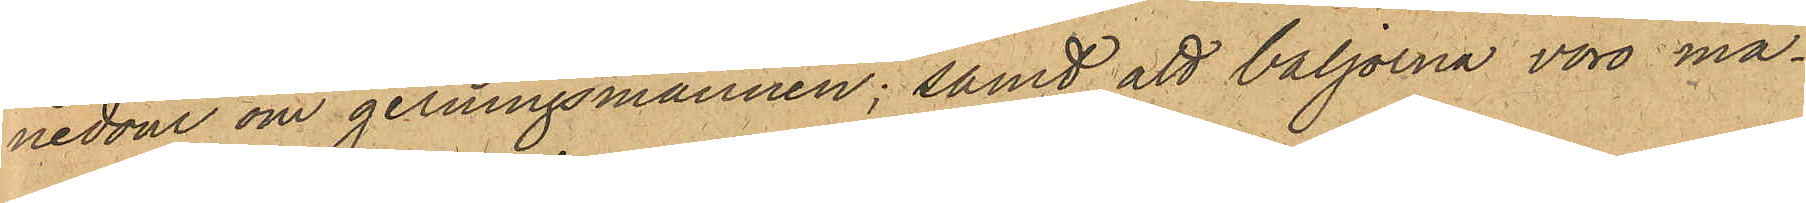nedom om gerningsmannen; samt att baljorna voro ma¬
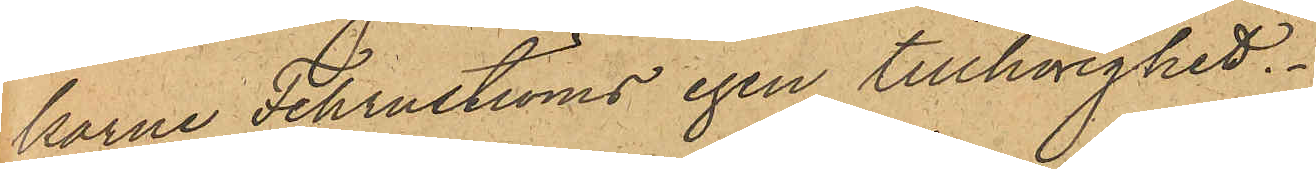karne Fehrnströms egen tillhörighet.
